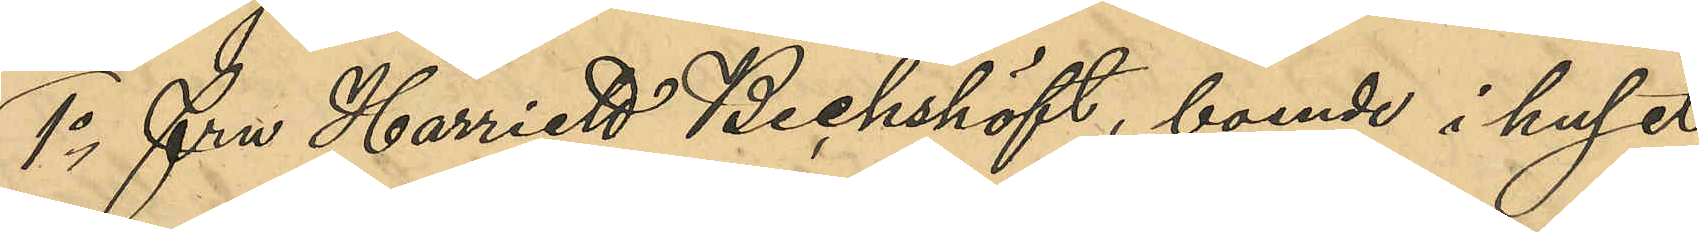1o Fru Harriet Bechshöft, boende i huset
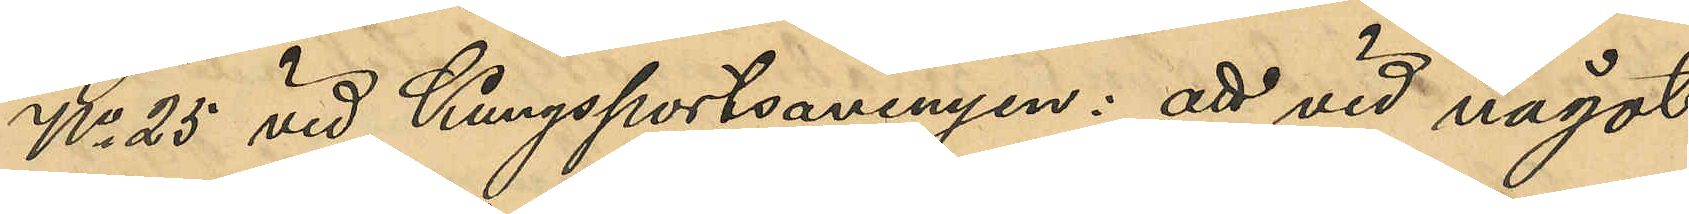No 25 vid Kungsportsavenyn: att vid något
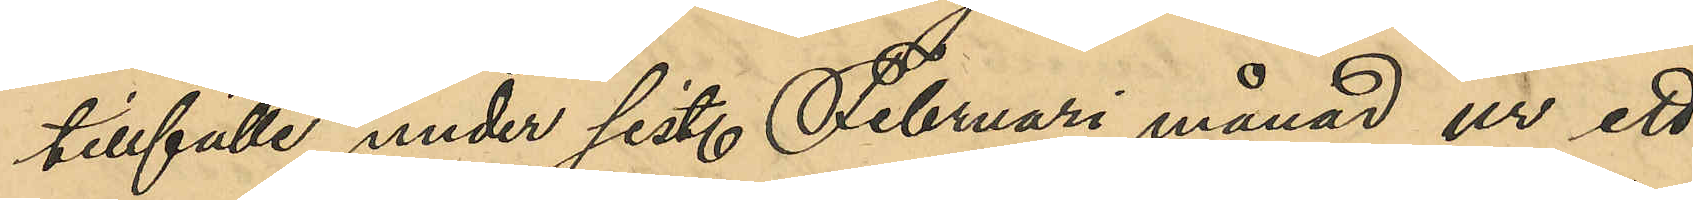tillfälle under sist. Februari månad ur ett
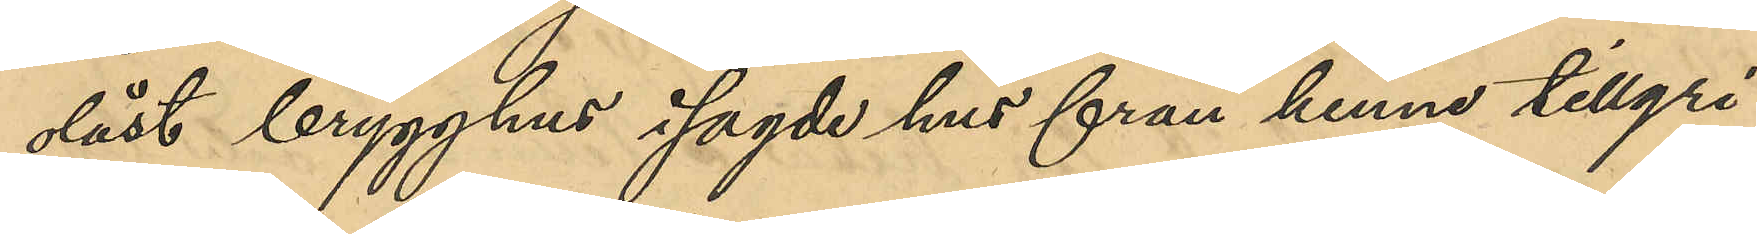olåst brygghus i sagde hus från henne tillgri¬
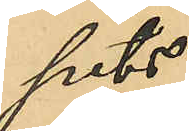pits:
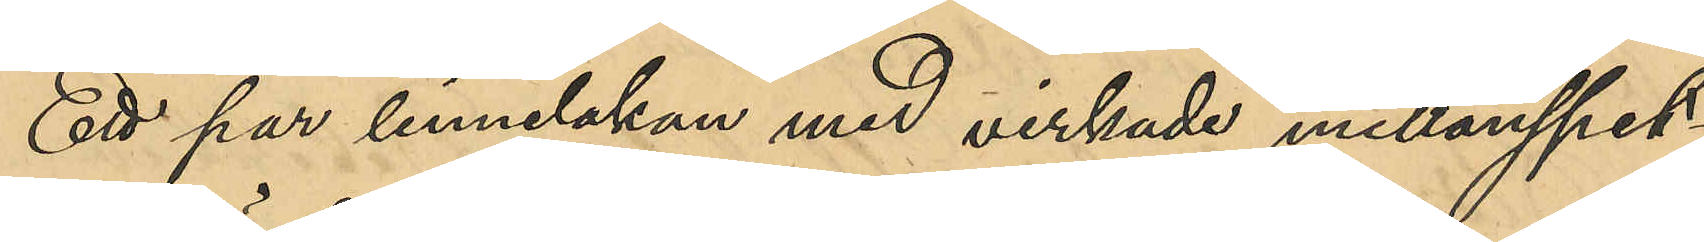Ett par linnelakan med virkade mellanspet¬
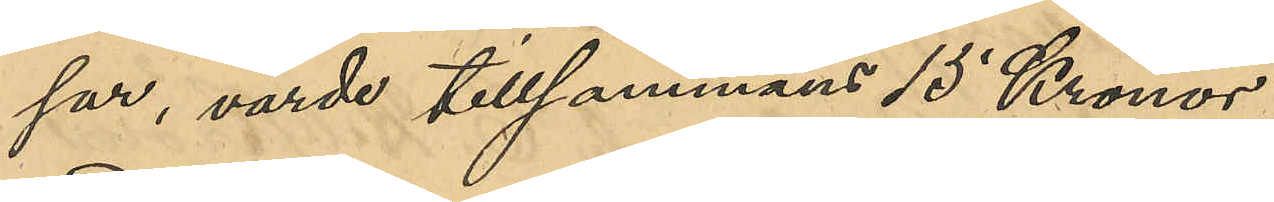sar, värde tillsammans 15 Kronor;
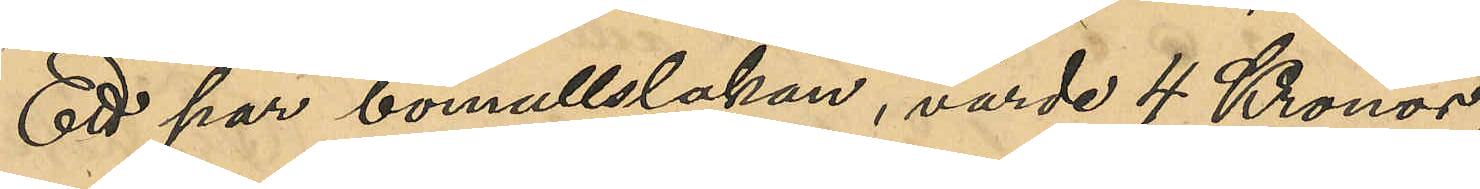Ett par bomullslakan, värde 4 Kronor,
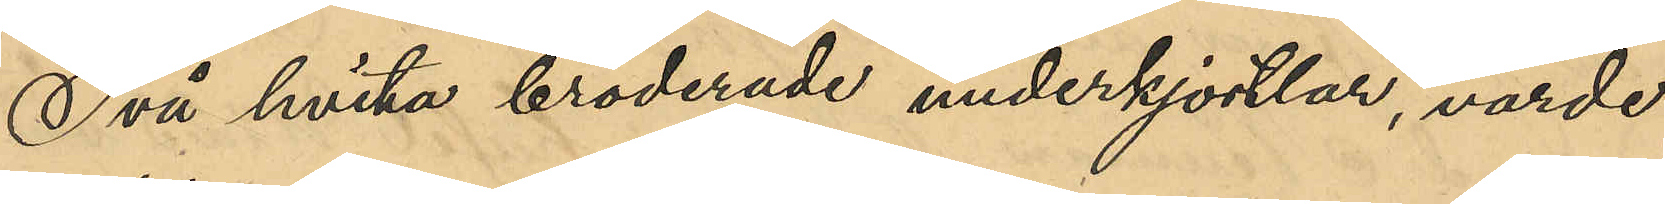Två hvita broderade underkjortlar, värde
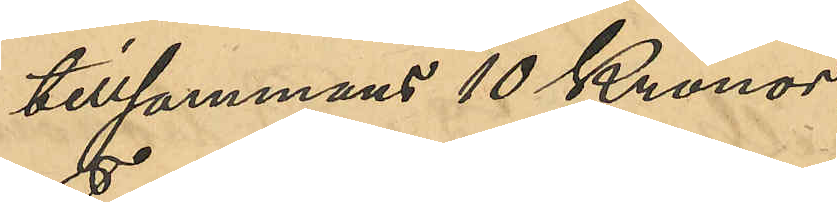tillsammans 10 Kronor,
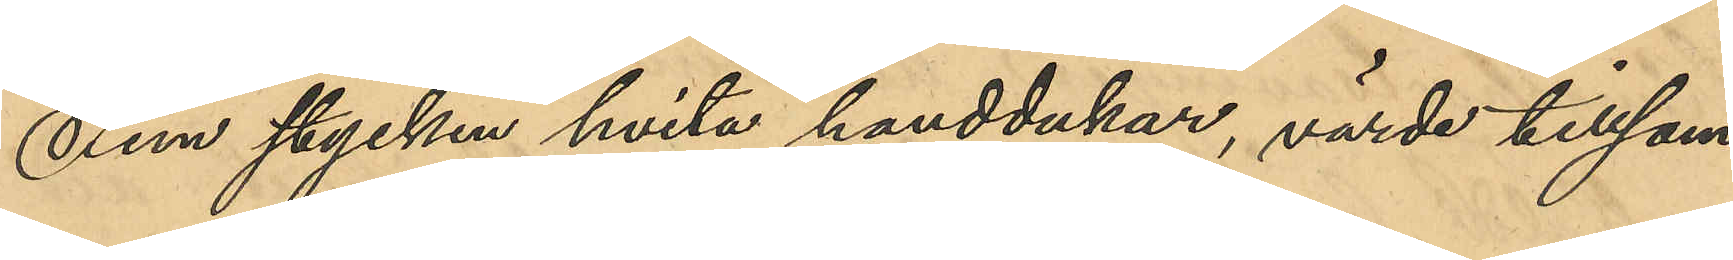Fem stycken hvita handdukar, värde tillsam¬
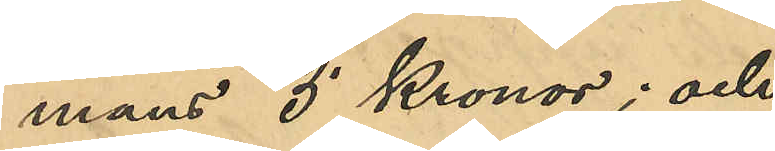mans 5 Kronor; och
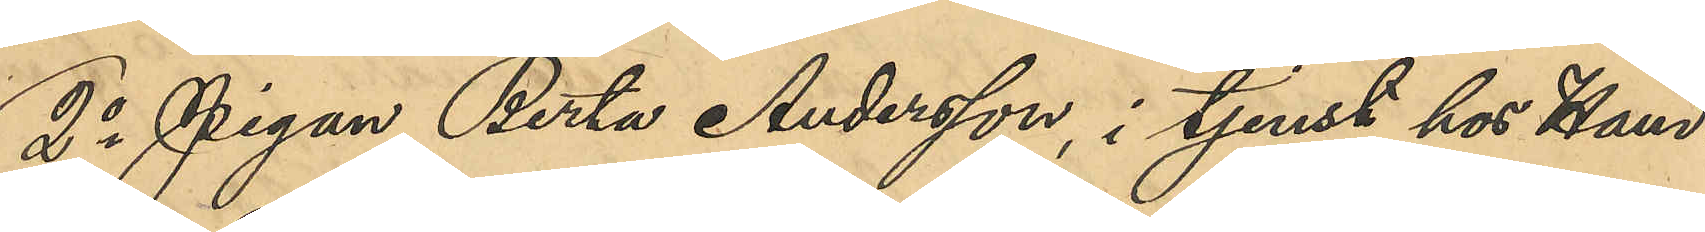2o Pigan Berta Andersson, i tjenst hos Hand¬
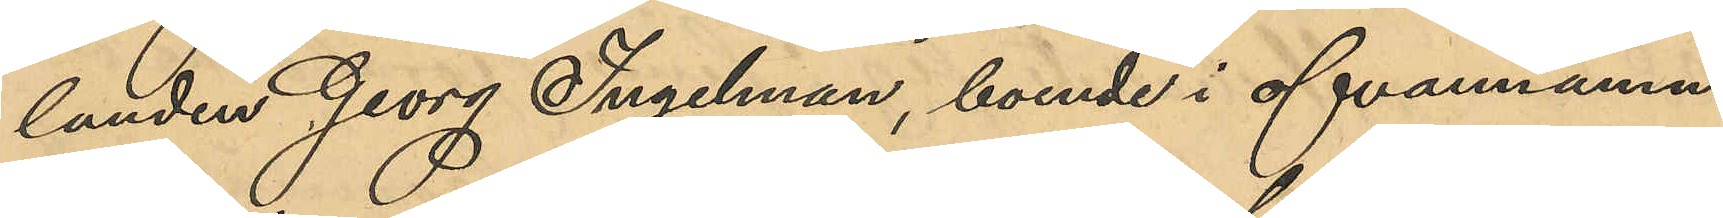landen Georg Ingelman, boende i huset i ofvannämn¬
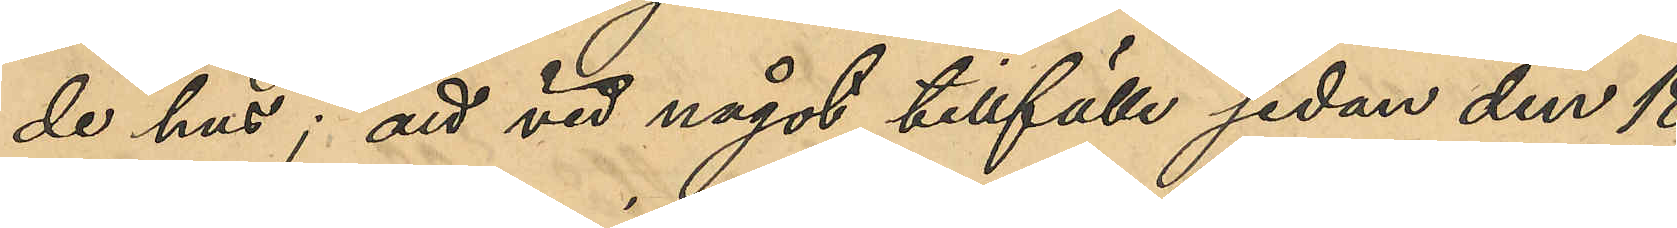de hus; att vid något tillfälle sedan den 18
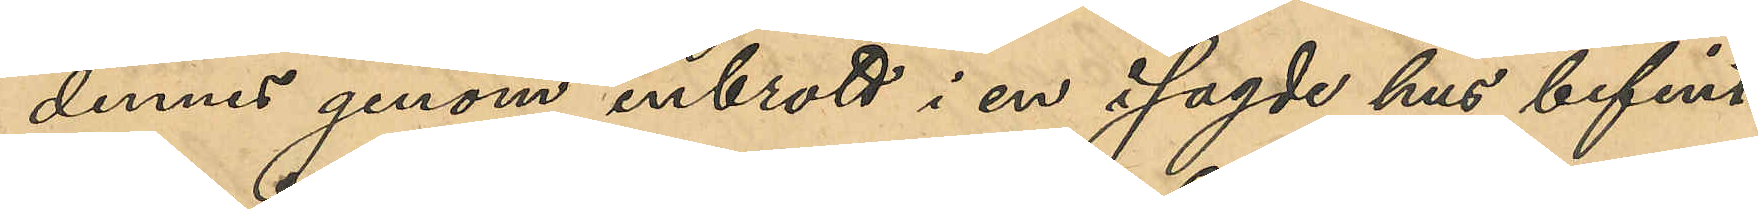dennes genom inbrott i en i sagde hus befint¬
